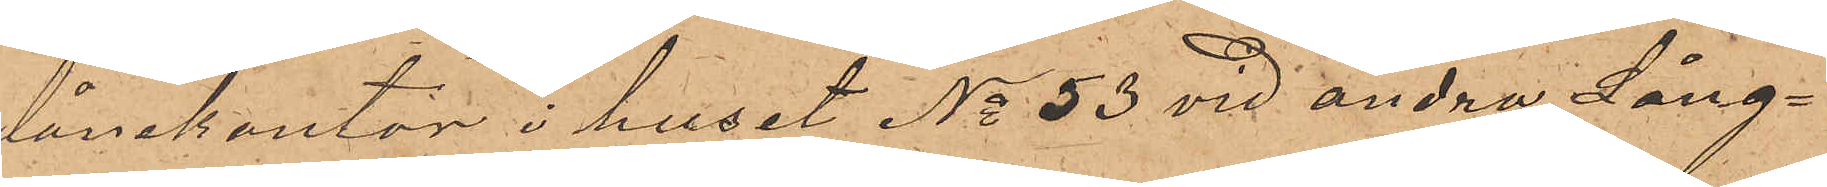lånekontor i huset No 53 vid andra Lång¬
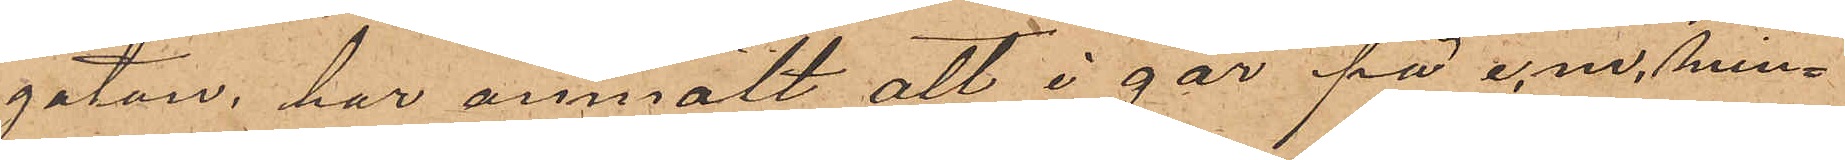gatan, har anmält att i går på e.m. min¬
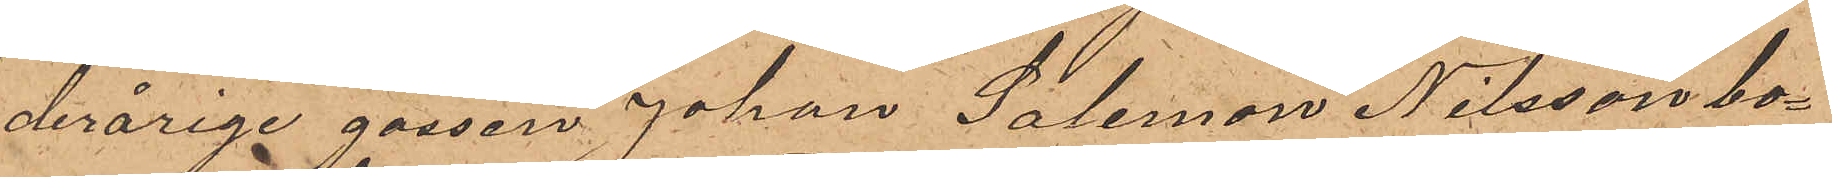derårige gossen Johan Salomon Nilsson bo¬
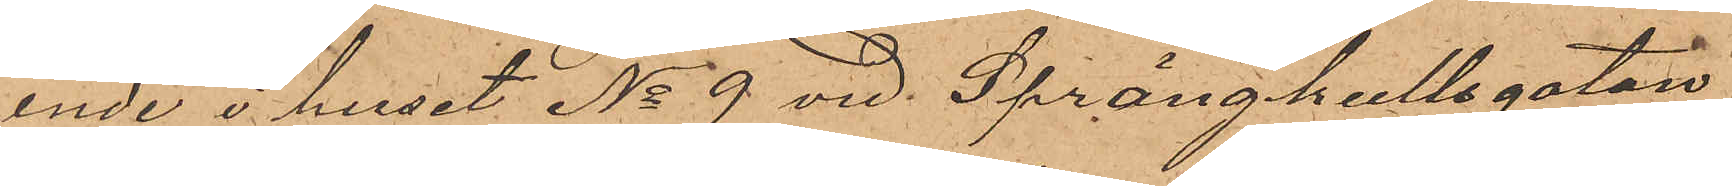ende i huset No 9 vid Sprängkullsgatan,
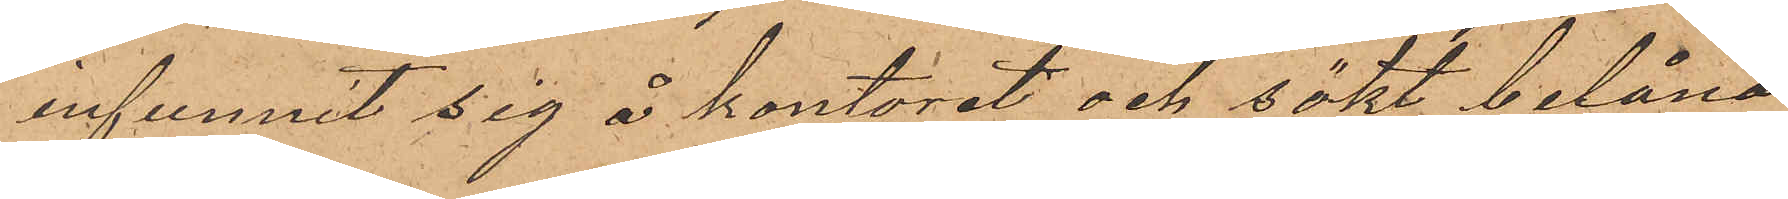infunnit sig å kontoret och sökt belåna
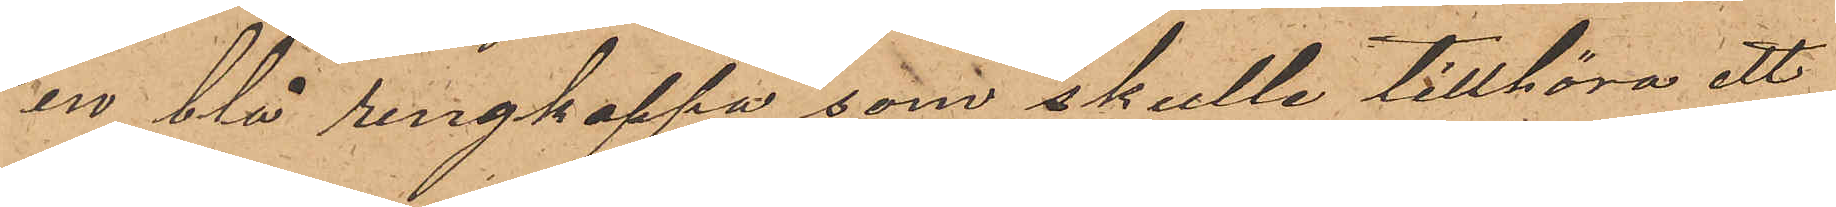en blå rengkappa som skulle tillhöra ett
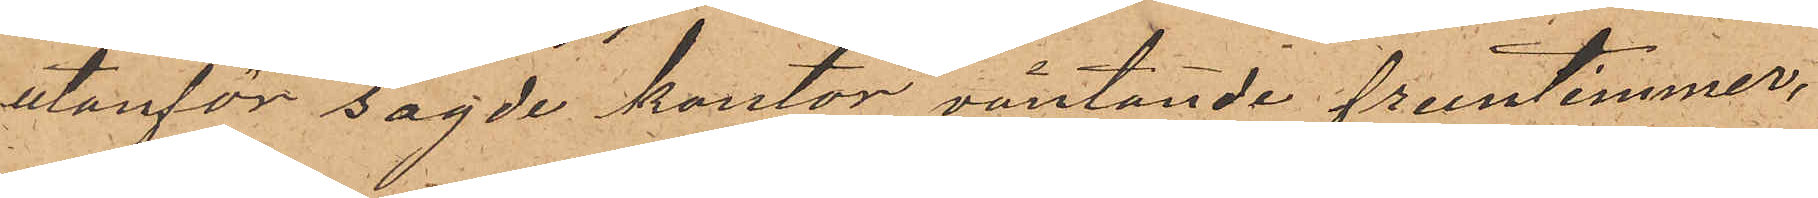utanför sagde kontor väntande fruntimmer,
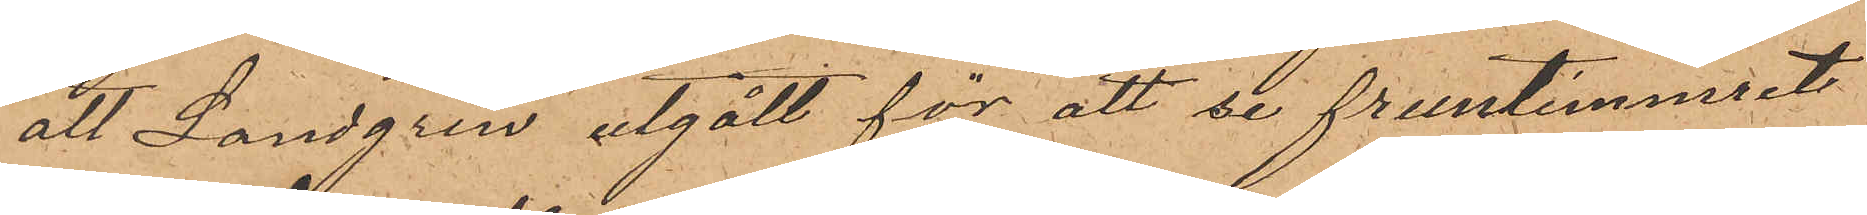att Landgren utgått för att se fruntimmret
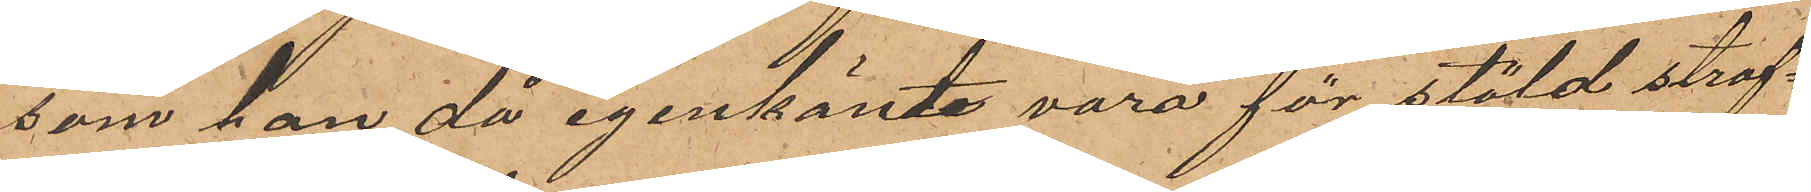som han då igenkänte vara för stöld straf¬
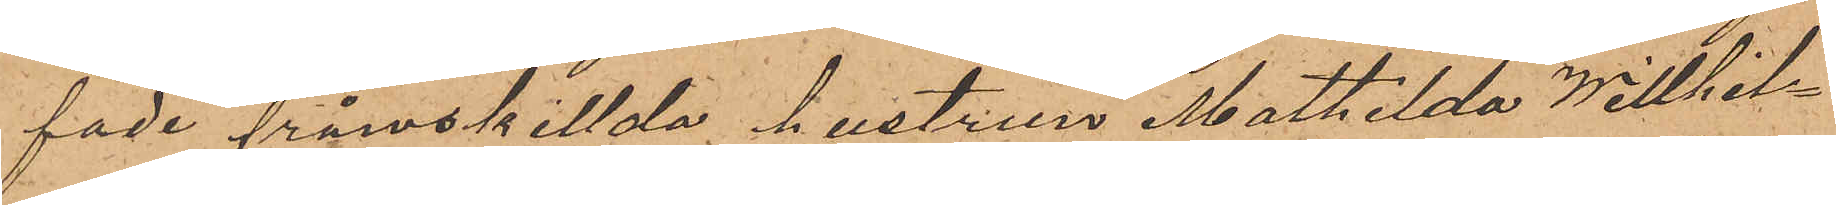fade frånskillda hustrun Mathilda Willhel¬
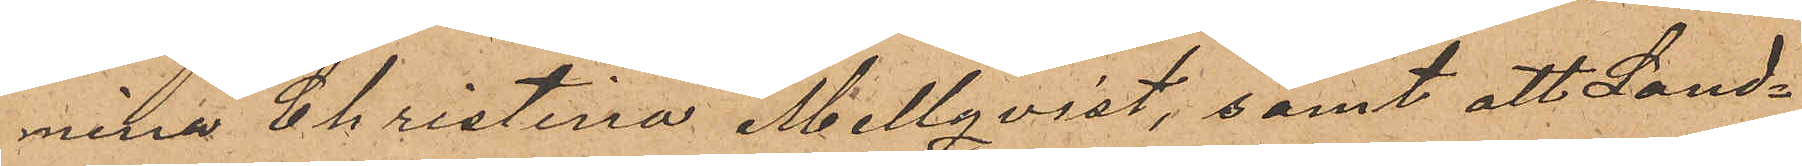mina Christina Mellqvist, samt att Land¬
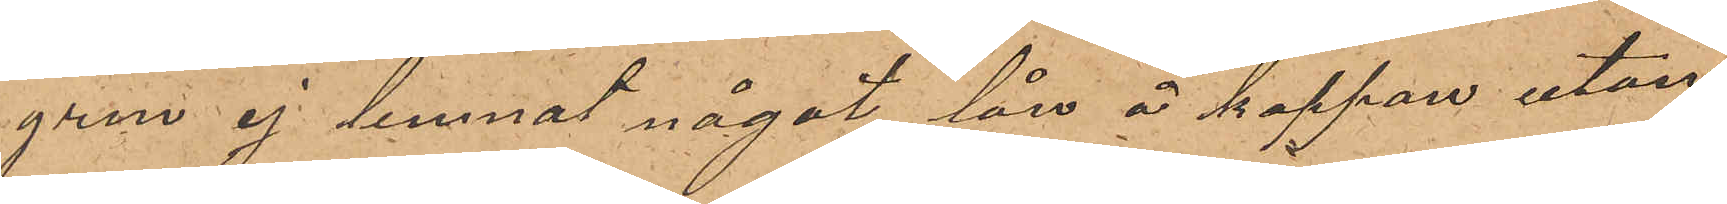gren ej lemnat något lån å kappan utan
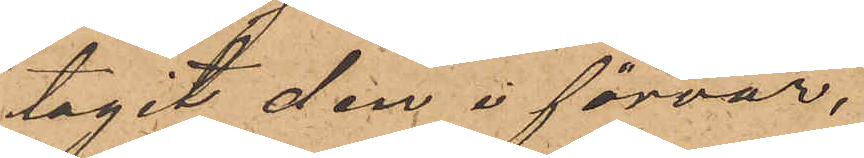tagit den i förvar.
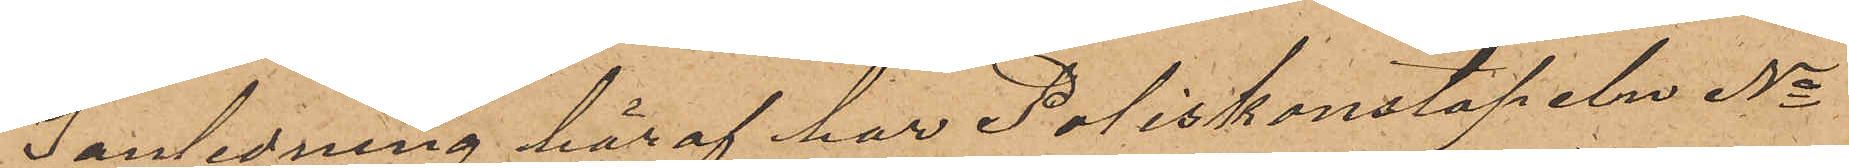I anledning häraf har Poliskonstapeln No
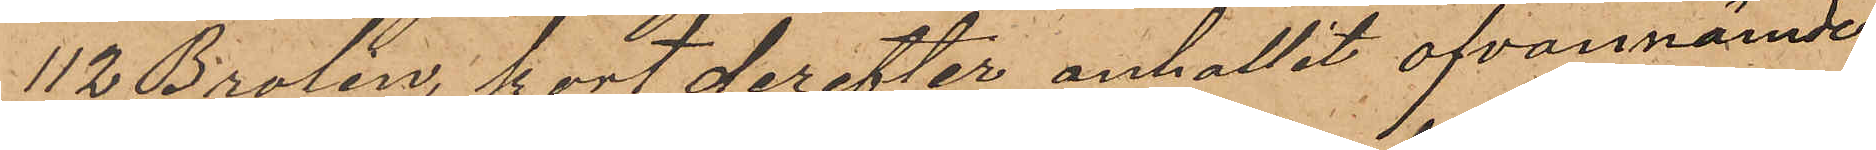112 Brolin, kort derefter anhållit ofvannämnde
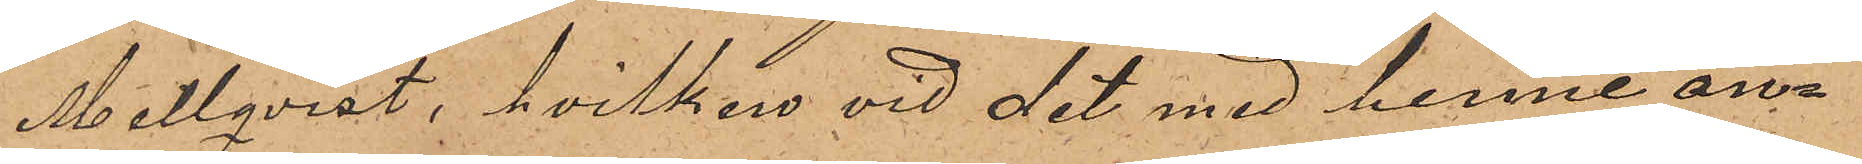Mellqvist, hvilken vid det med henne an¬
